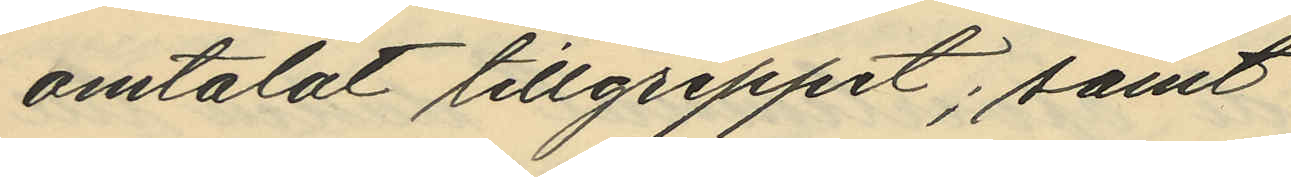omtalat tillgreppet; samt
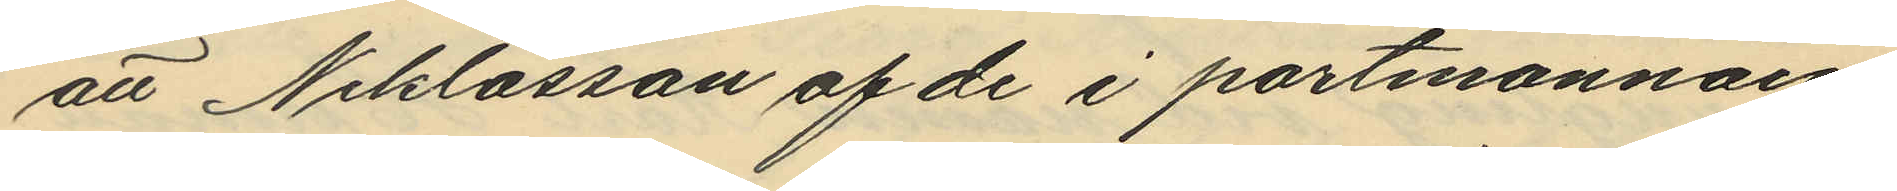att Niklasson af de i portmonnäen
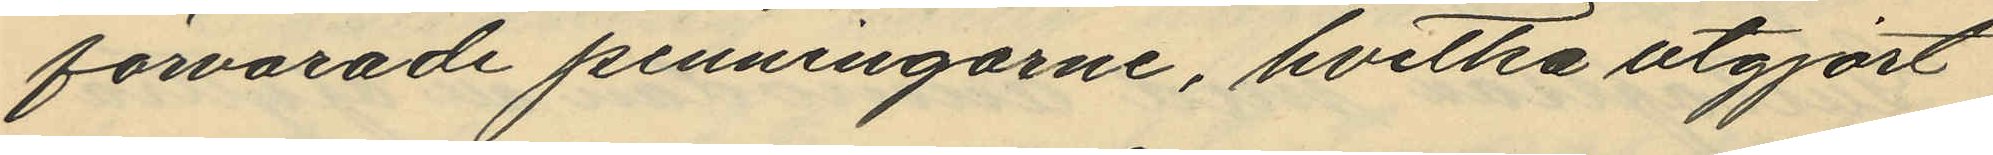förvarade penningarne, hvilka utgjort
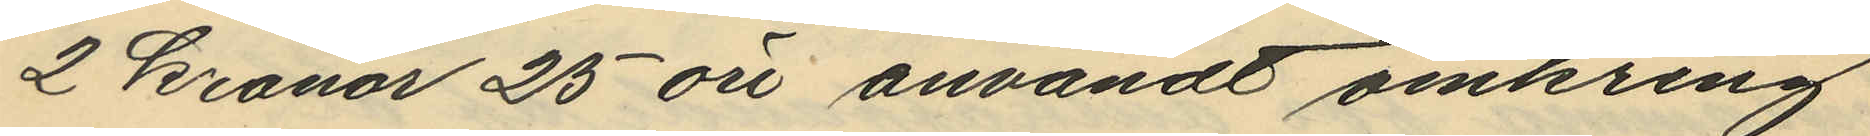2 Kronor 25 öre användt omkring
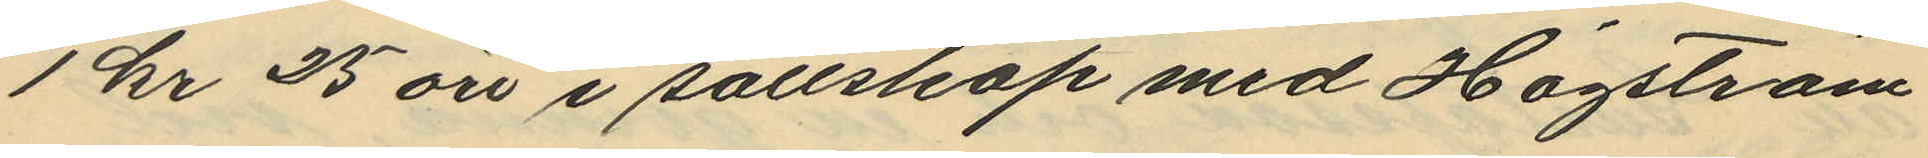1 kr 25 öre i sällskap med Högström
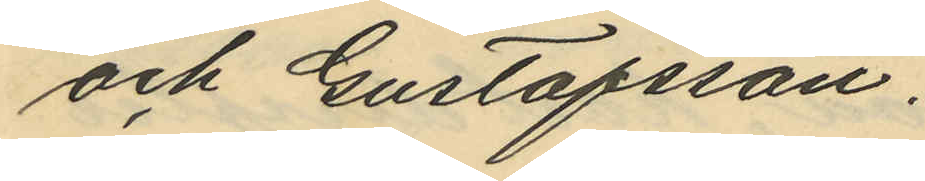och Gustafsson.
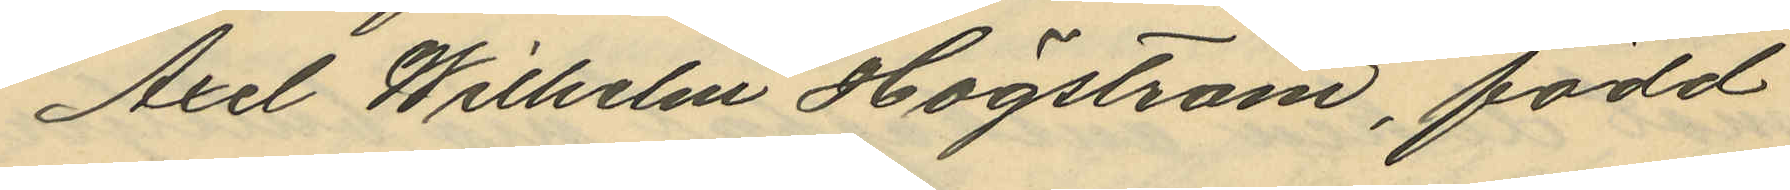Axel Wilhelm Högström, född
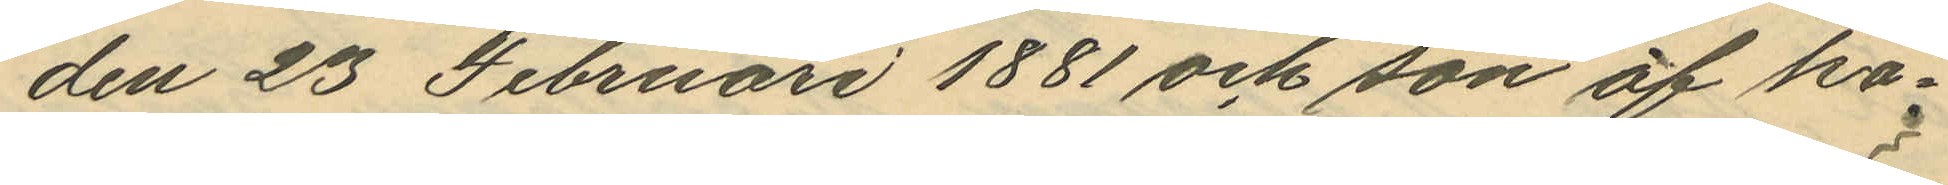den 23 Februari 1881 och son af ka¬
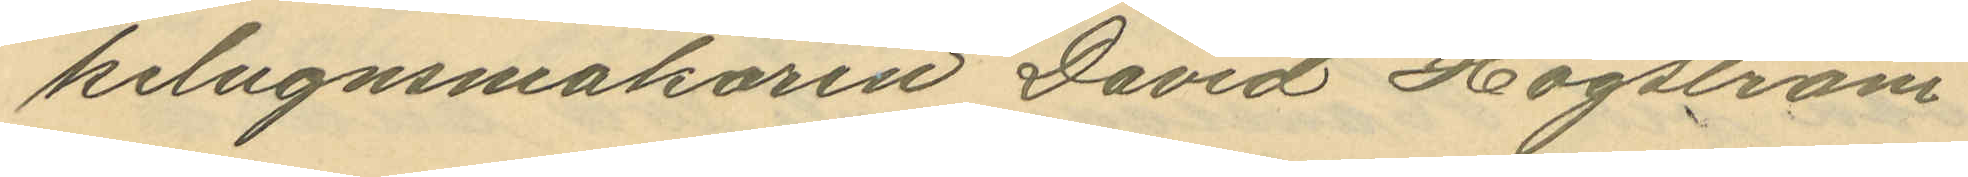kelugnsmakaren David Högström
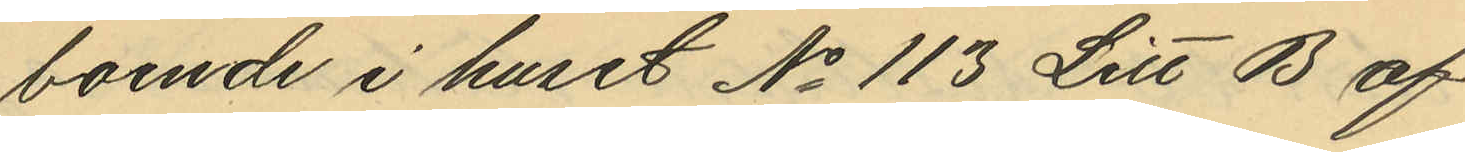boende i huset No 113 Litt B af
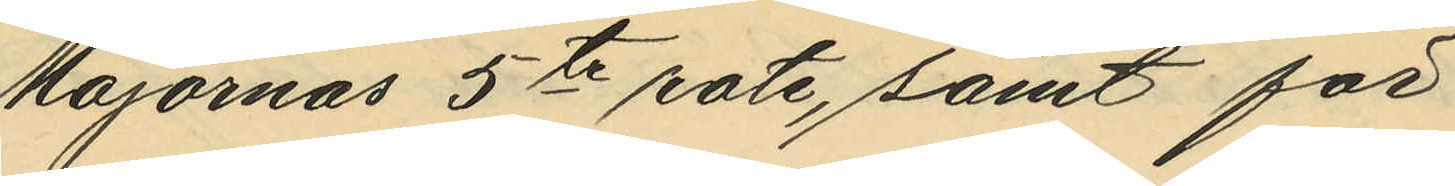Majornas 5te rote, samt för
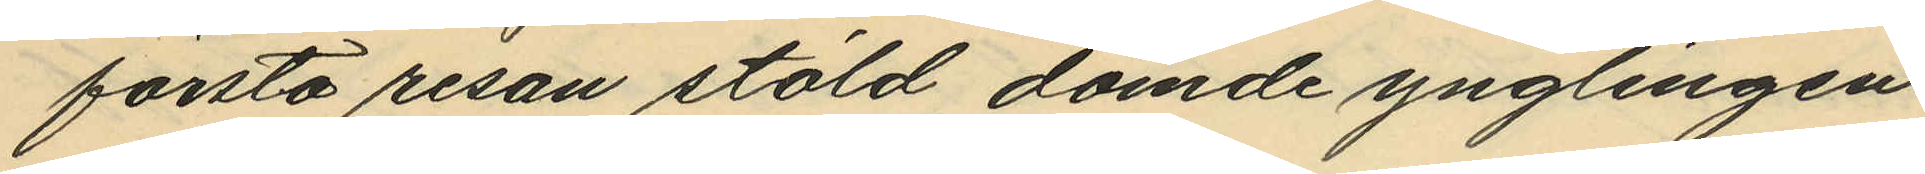första resan stöld dömde ynglingen
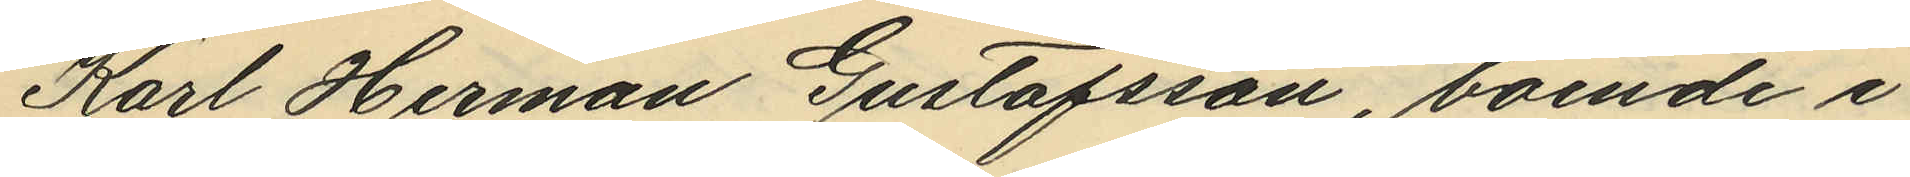Karl Herman Gustafsson, boende i
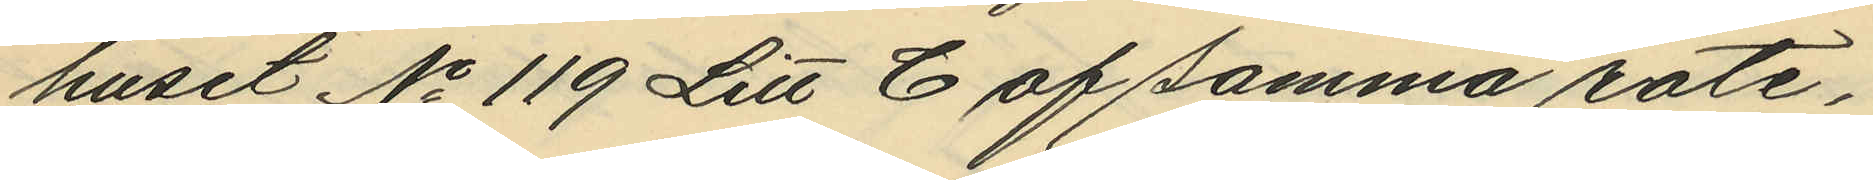huset No 119 Litt C af samma rote,
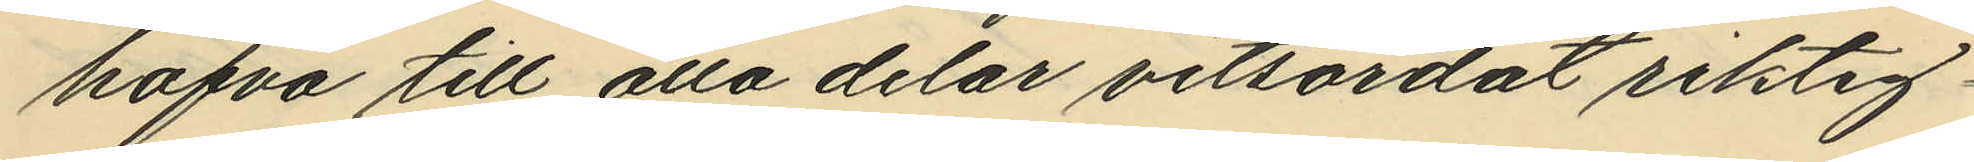hafva till alla delar vitsordat riktig¬
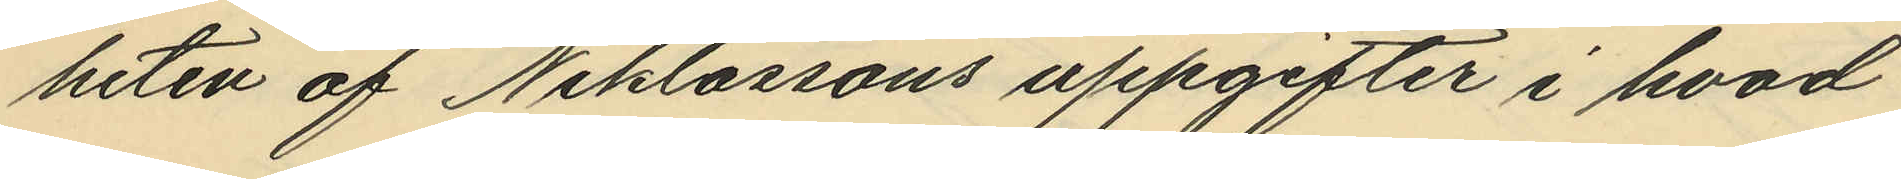heten af Niklassons uppgifter i hvad
